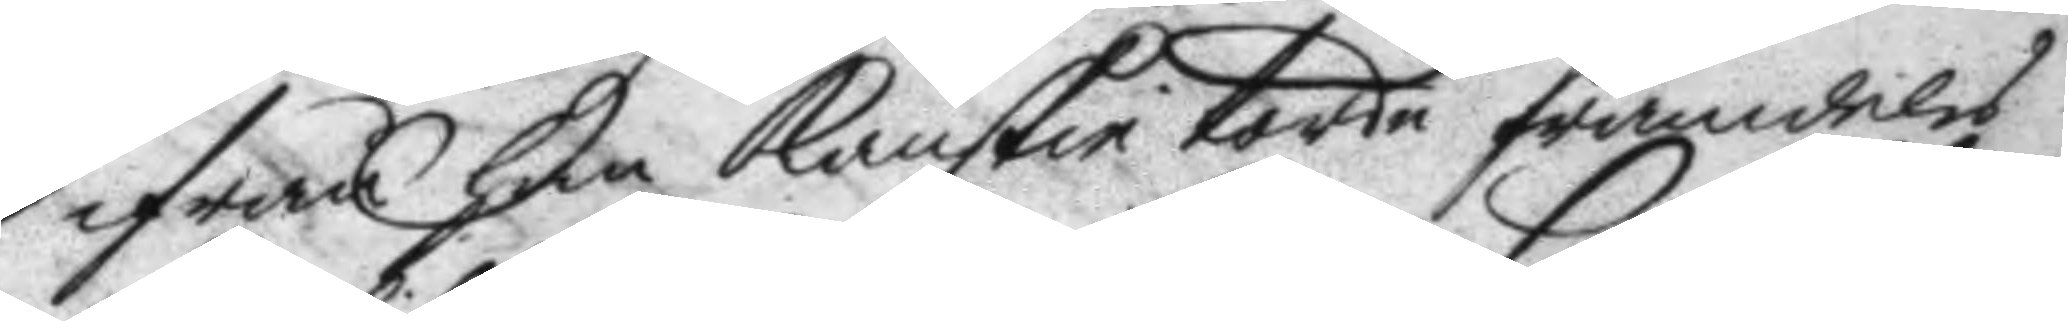ifrån han kanskie torde framdeles
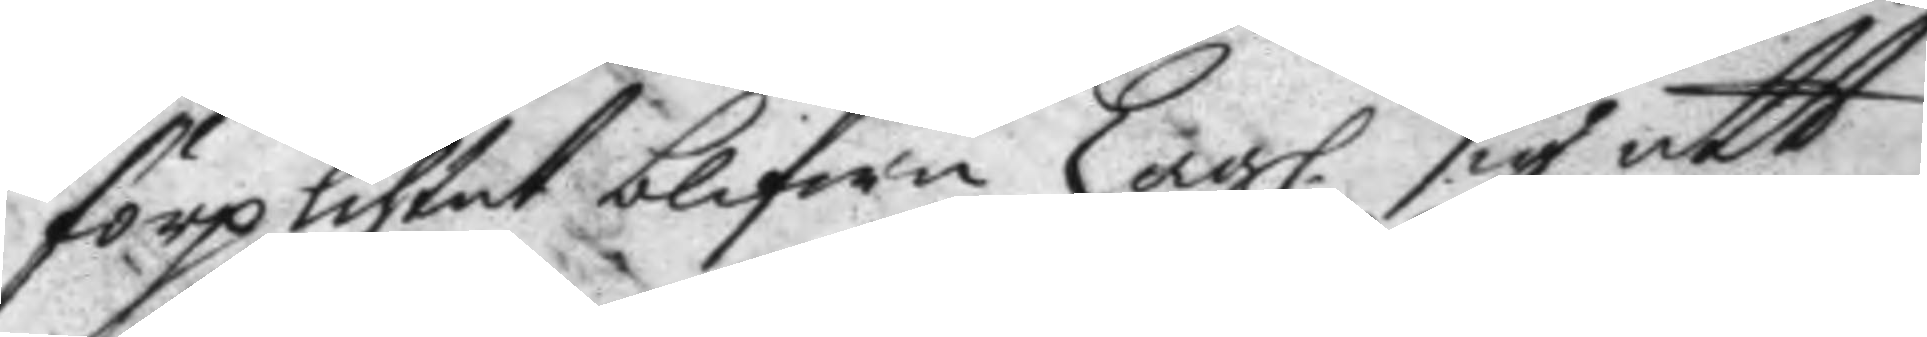förplihtat blifwa Lagl. sig att
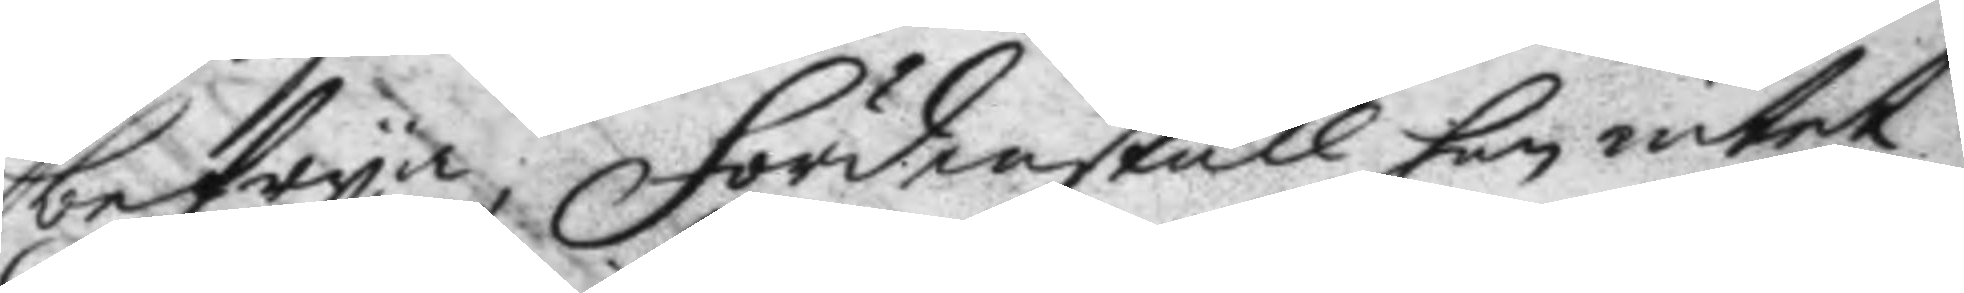befrya; fördenskull han intet
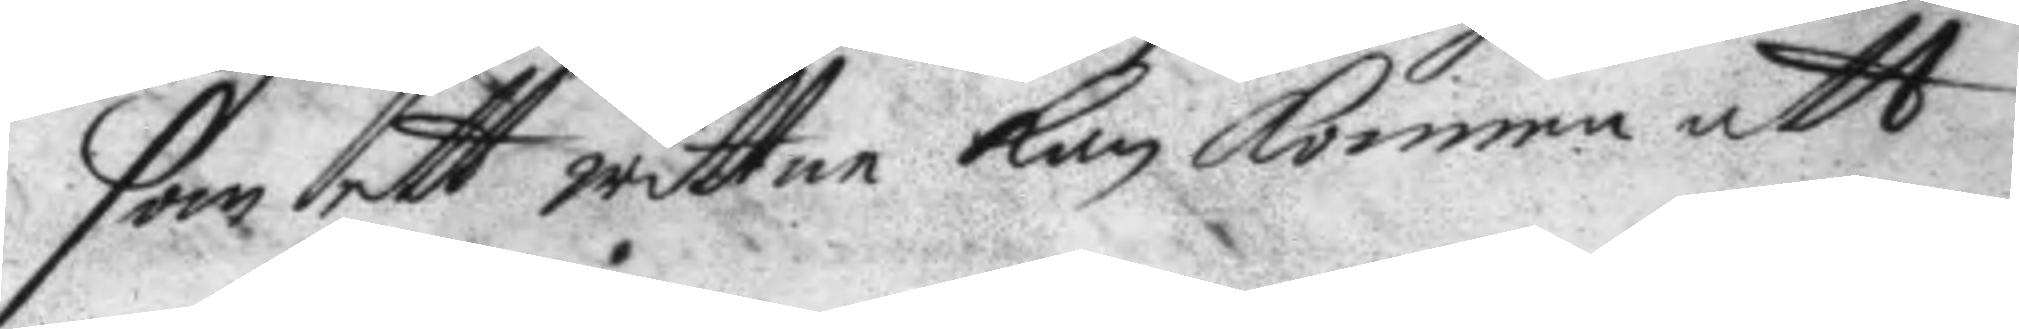som ett wittne kan komma att
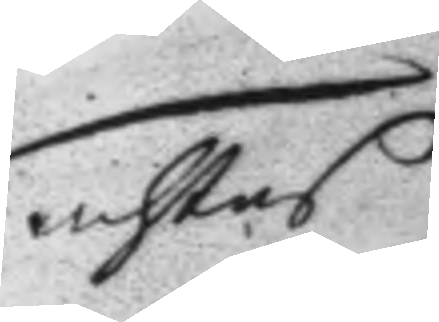achtas
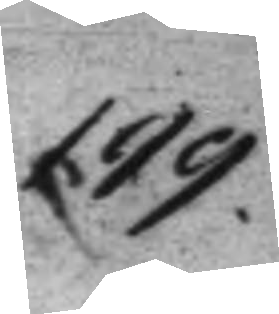199.
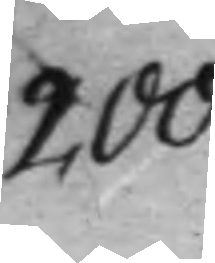200.
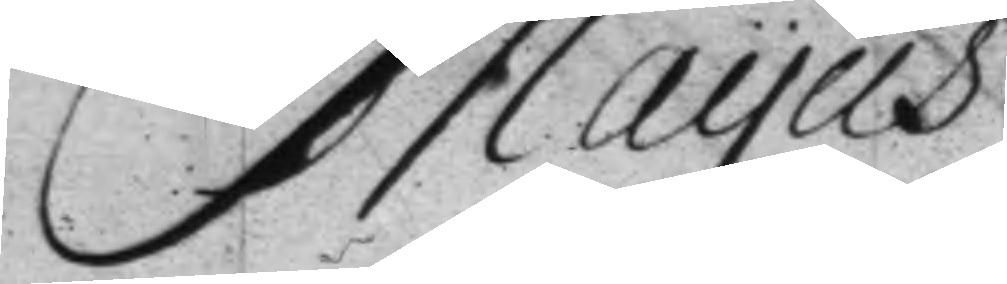Mayus
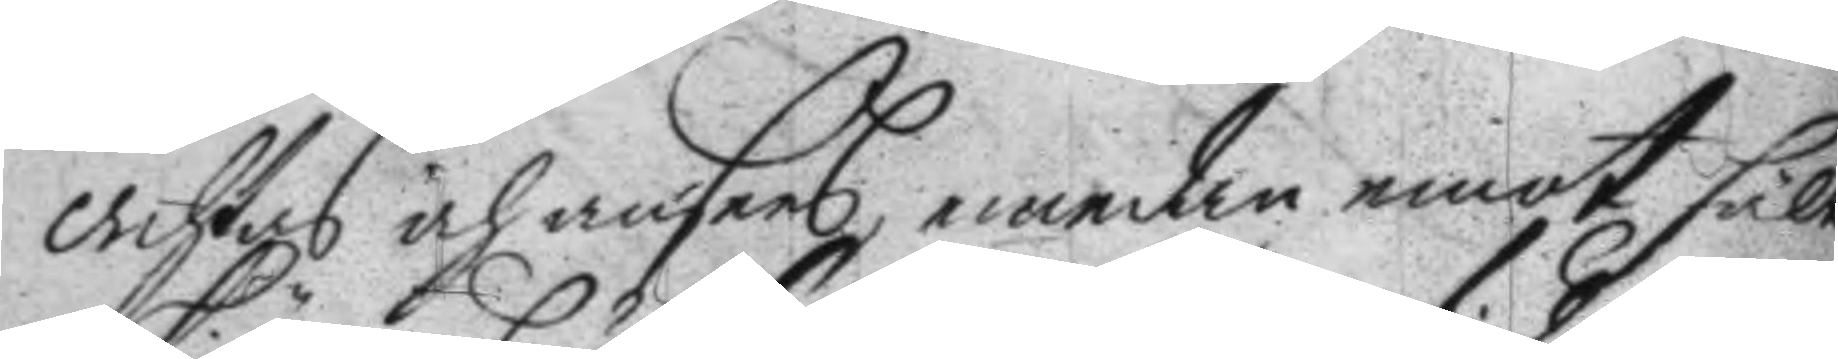achtas och anses, emedan emot fält¬
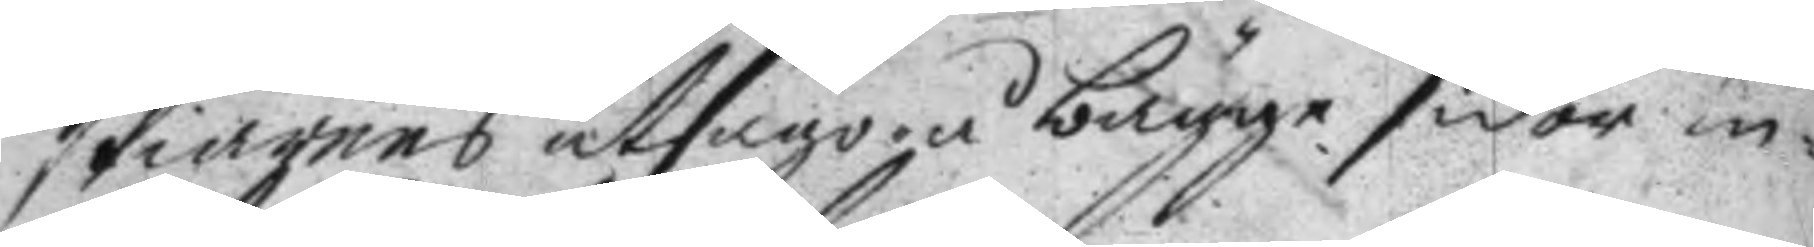skiärens utsago bägge sidor in¬
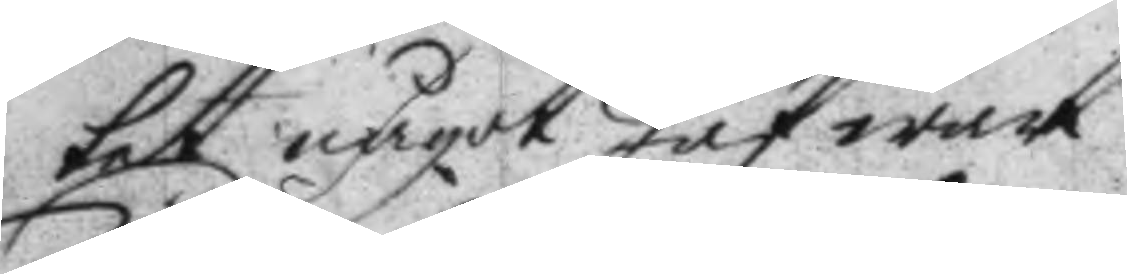tet något Jäf war.
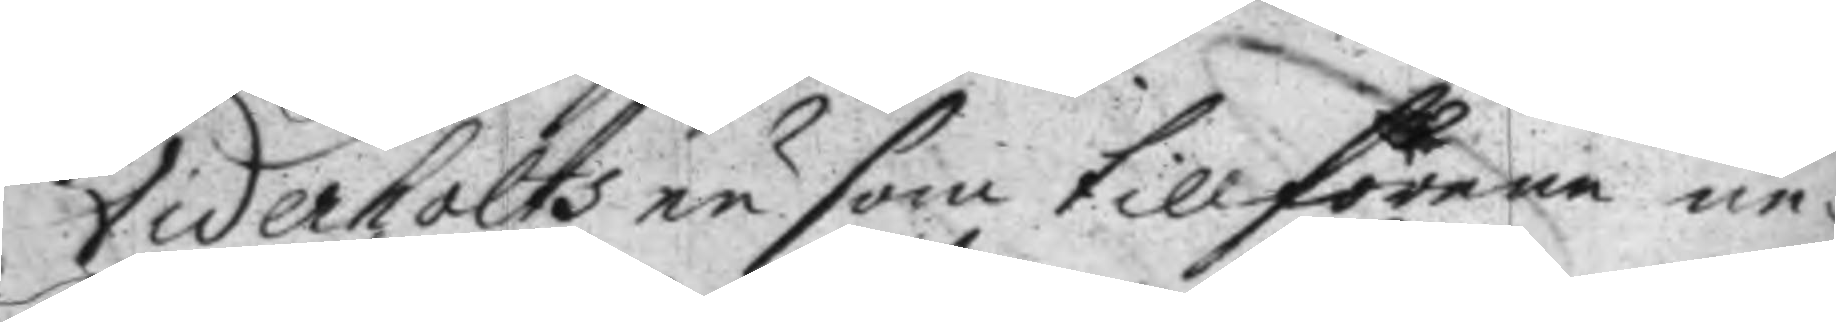Viderholts nu som tillförene ne¬
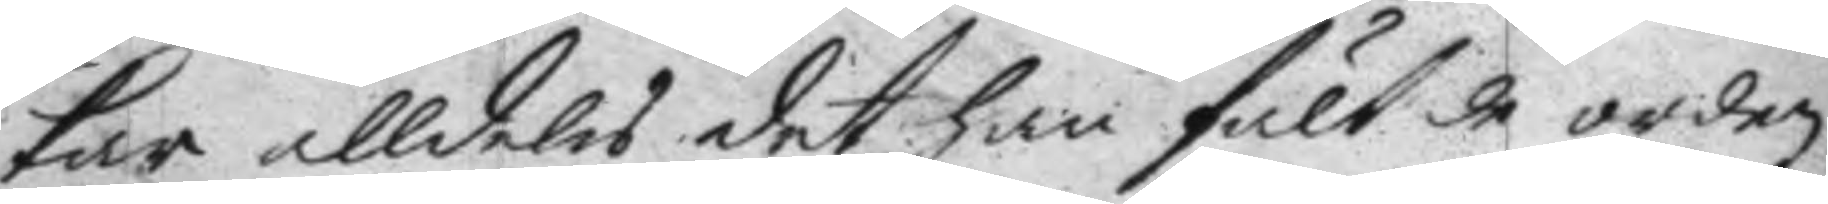kar alldeles det han fält de orden
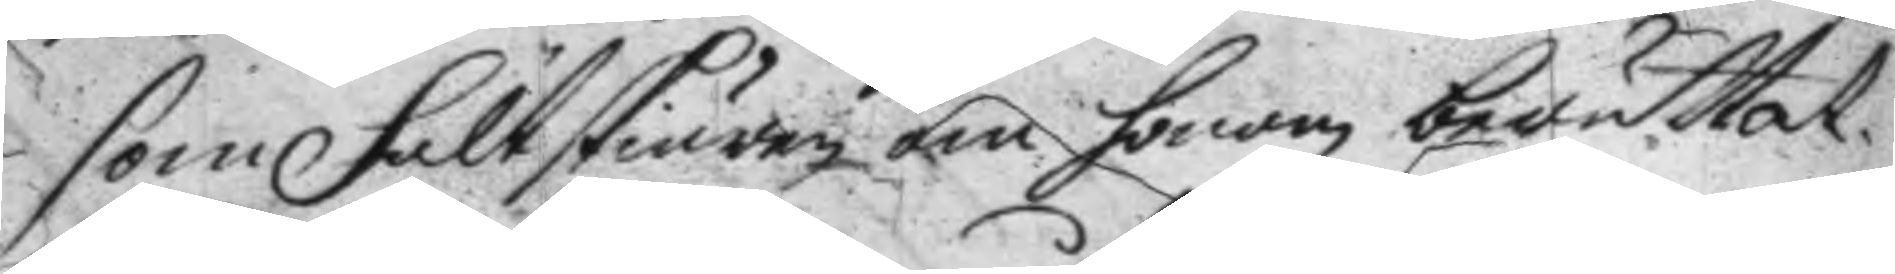som fältskiären om honom berättat.
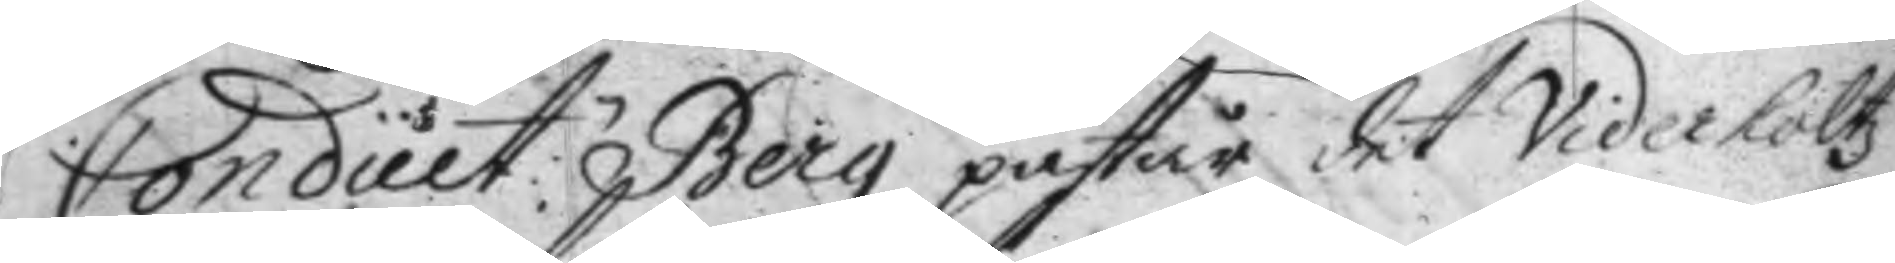Condult:n Berg påstår det Viderholtz
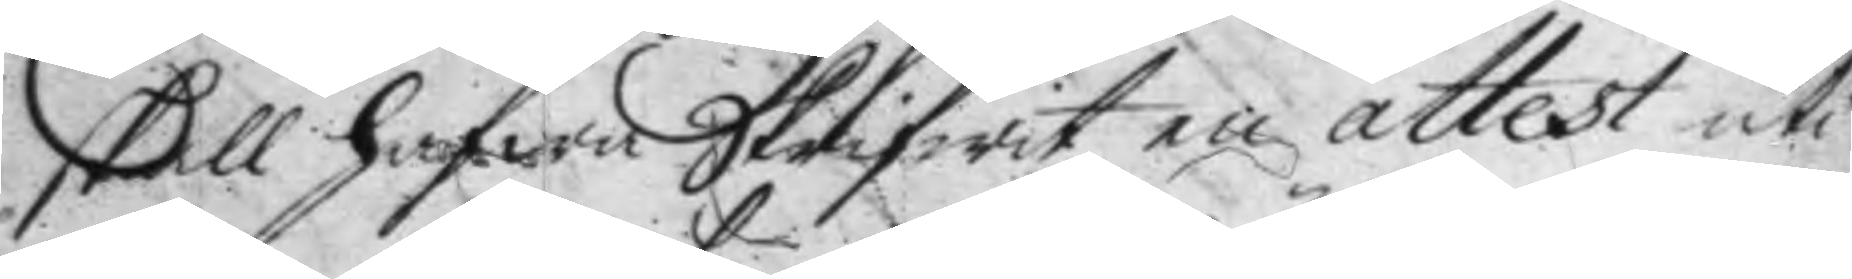skall hafwa Skrifwit en attest uti
